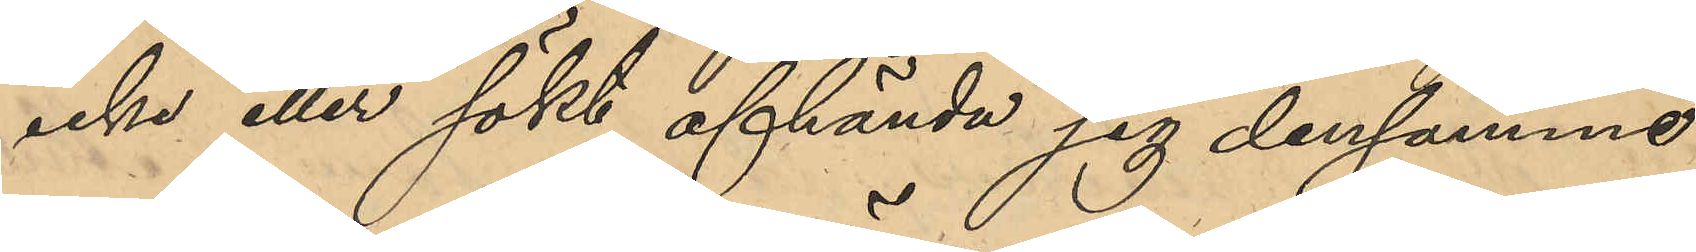icke eller sökt afhända sig densamme,
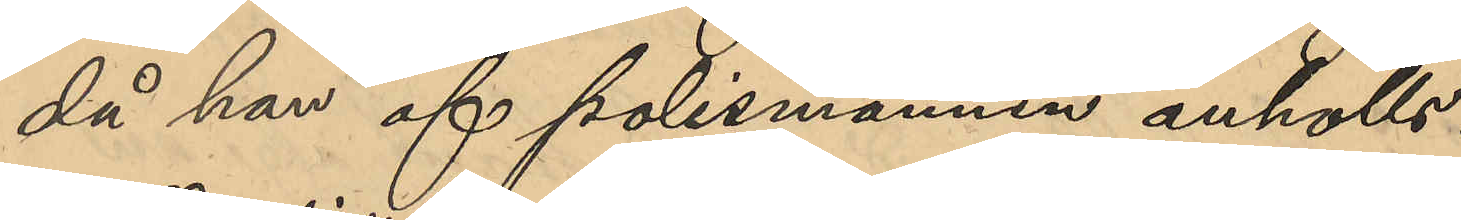då han af polismännen anhölls.
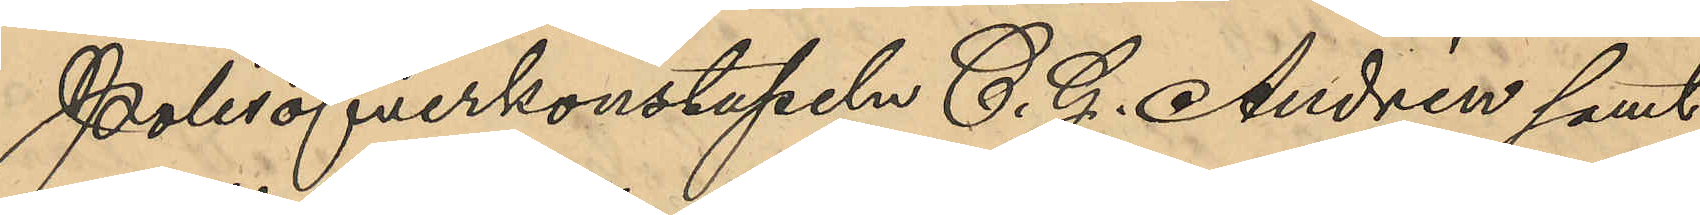Polisöfverkonstapeln C. J. Andrén samt
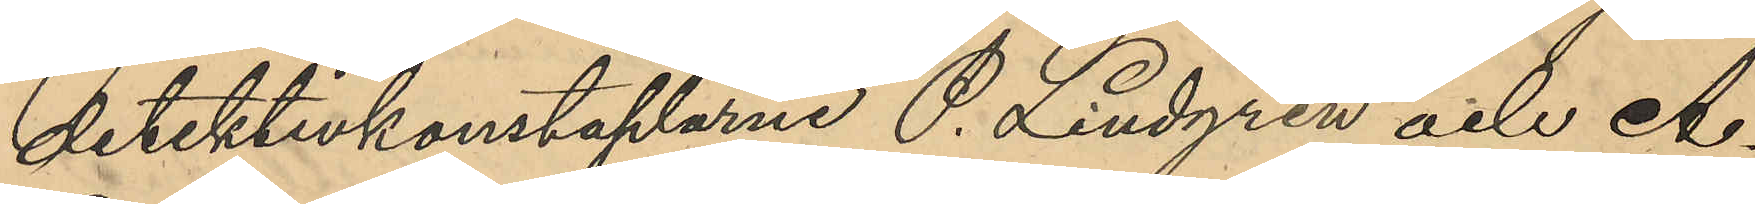detektivkonstaplarne P. Lindgren och A.
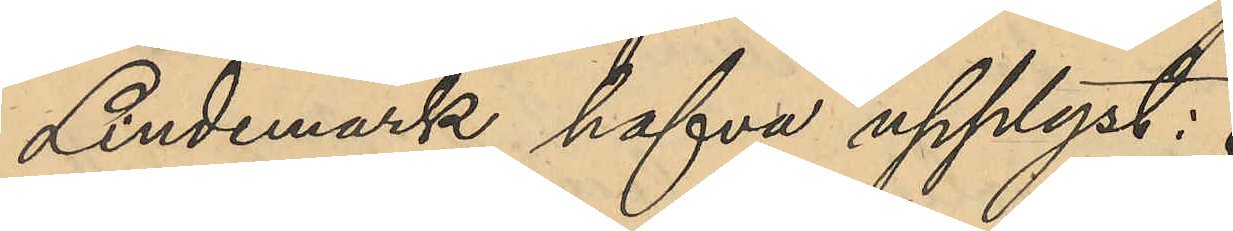Lindemark hafva upplyst:
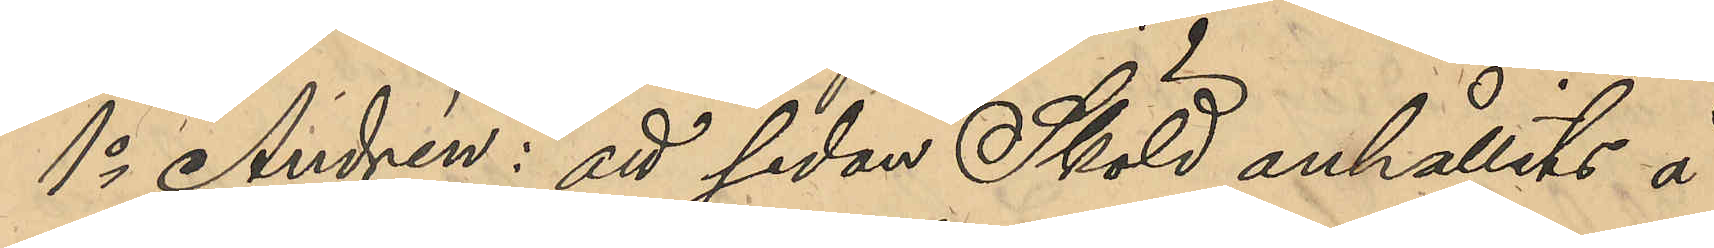1o Andrén: att sedan Sköld anhållits å
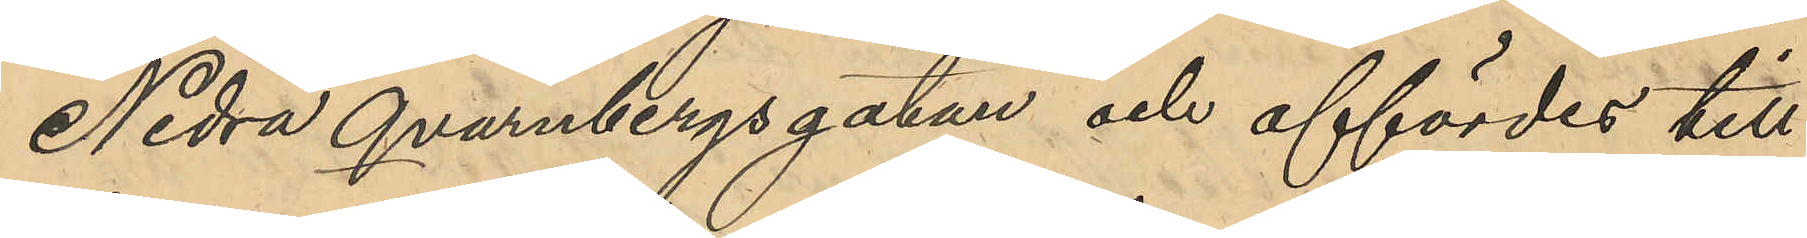Nedra Qvarnbergsgatan och affördes till
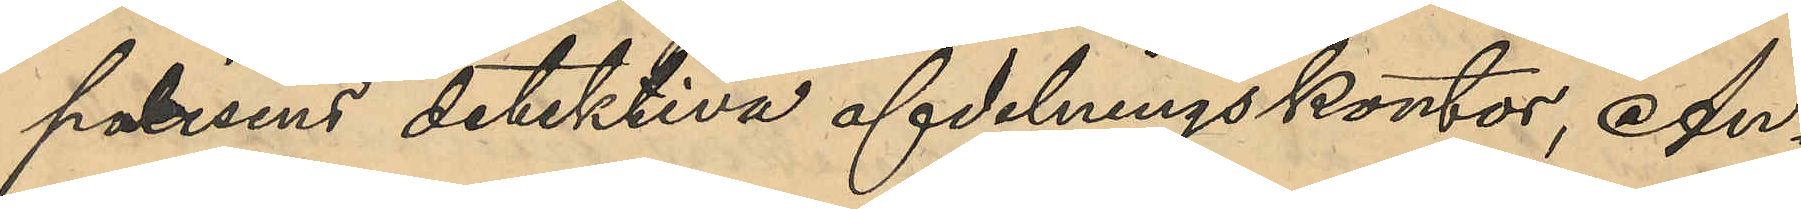polisens detektiva afdelningskontor, An¬
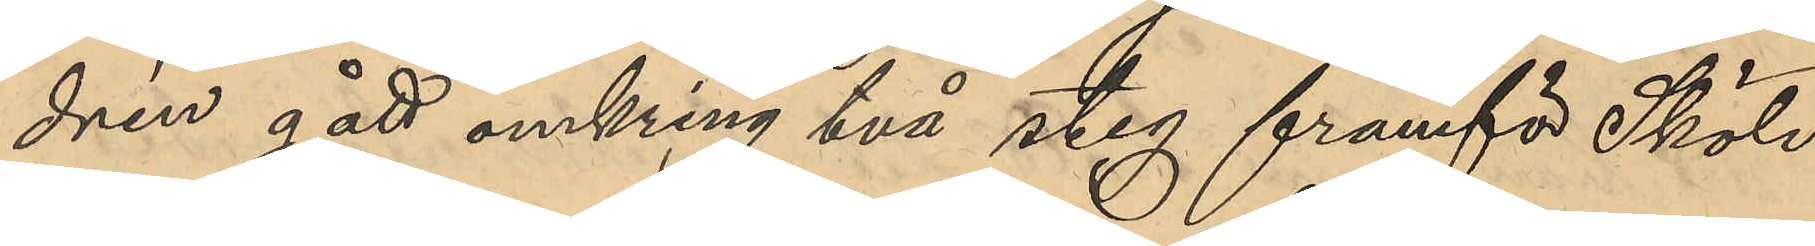drén gått omkring två steg framför Sköld
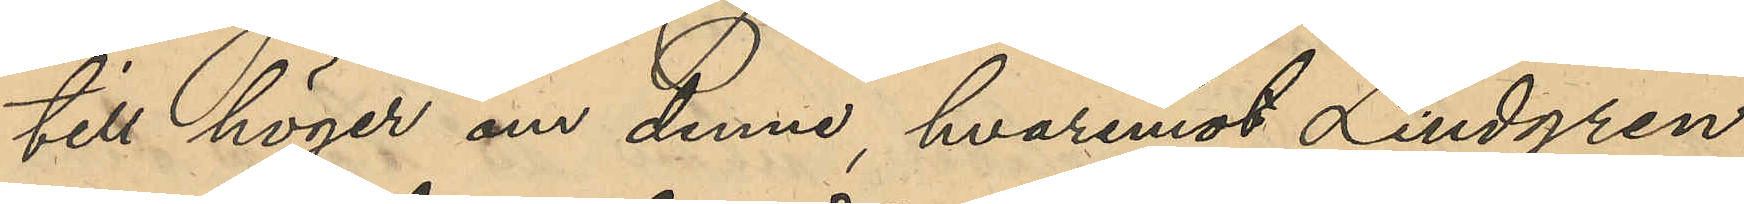till höger om denne, hvarmed Lindgren
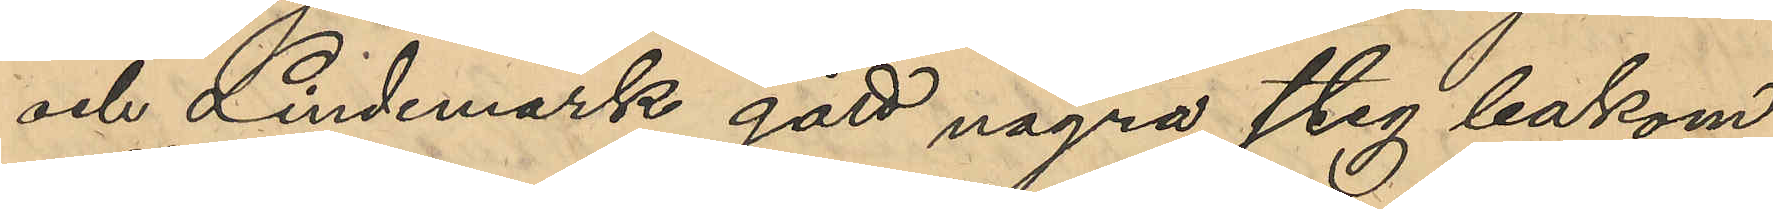och Lindemark gått några steg bakom
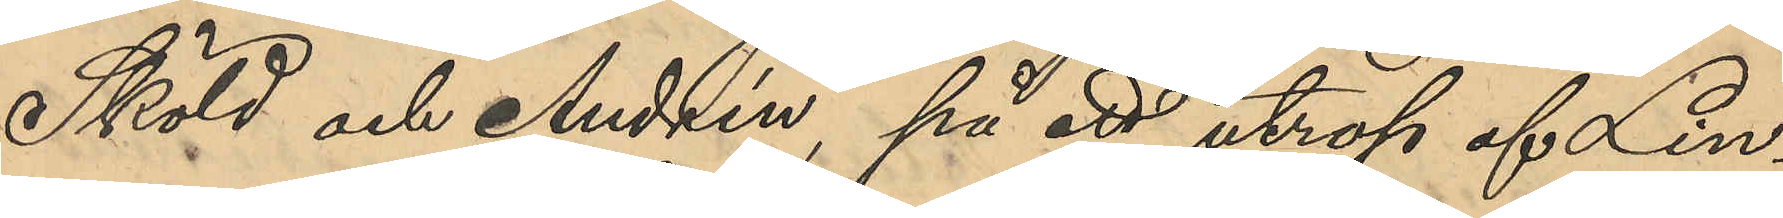Sköld och Andrén, på ett utrop af Lin¬
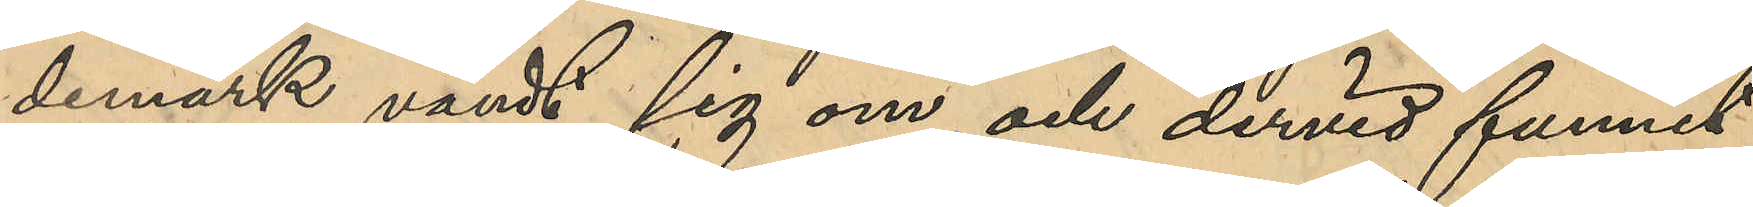demark vändt sig om och dervid funnit
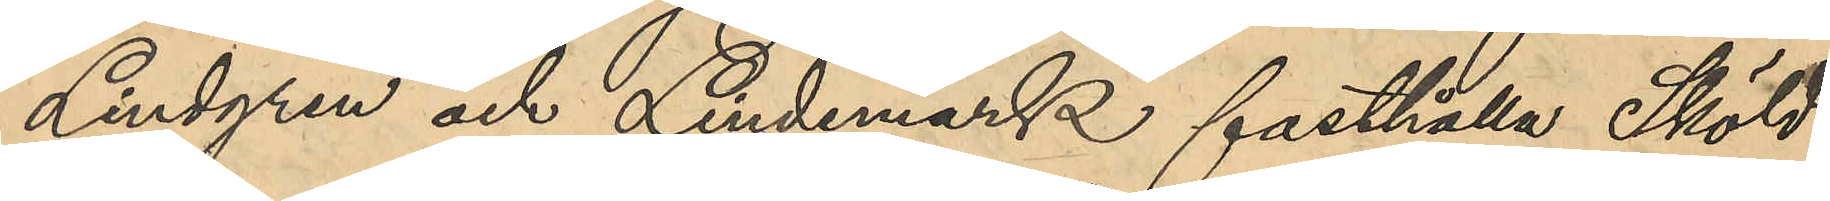Lindgren och Lindemark fasthålla Skölds
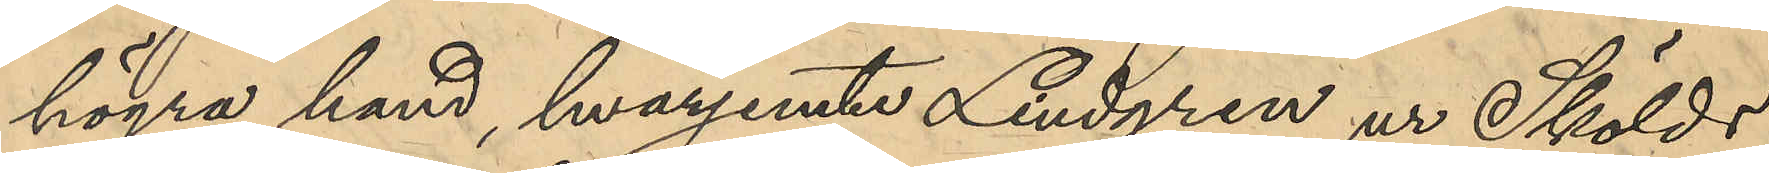högra hand, hvarjemte Lindgren ur Skölds
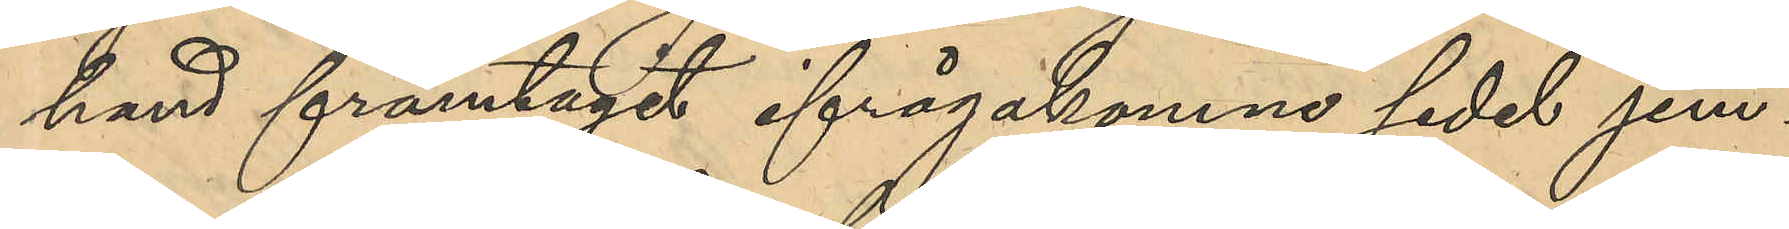hand framtagit ifrågakomne sedel jem¬
